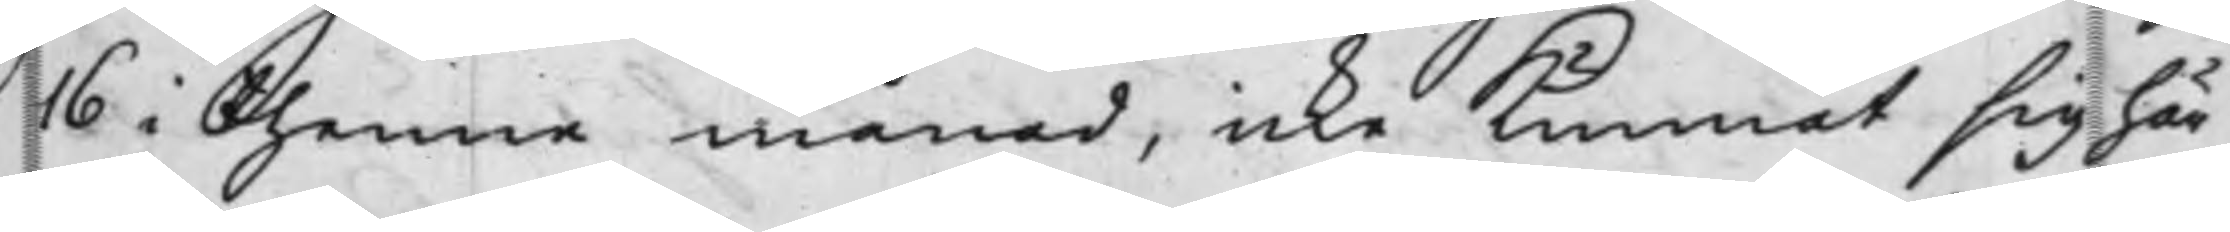16 i thenne månad, icke kunnat sig här
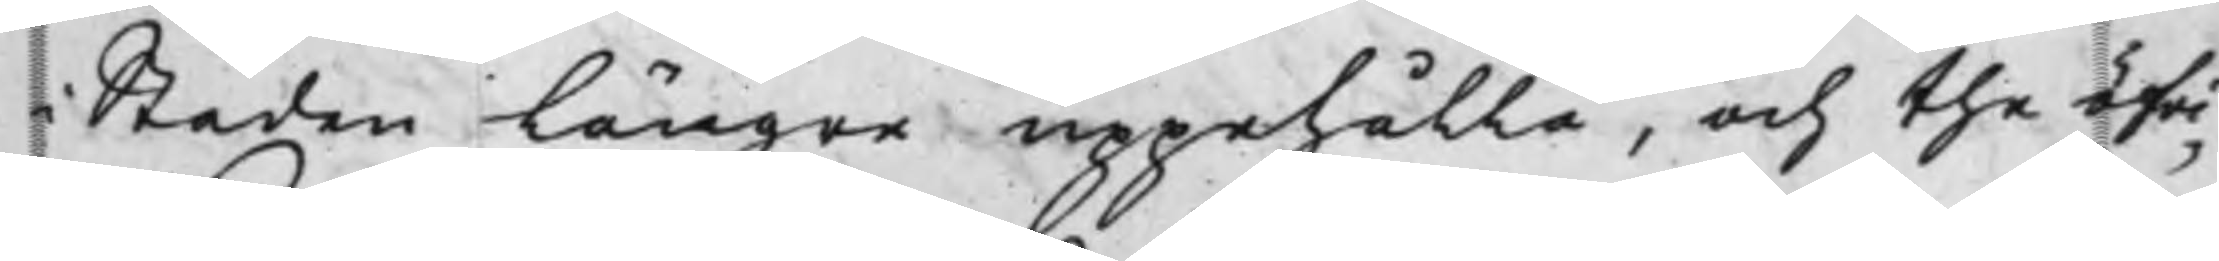i Staden längre uppehålla, och the öfr¬
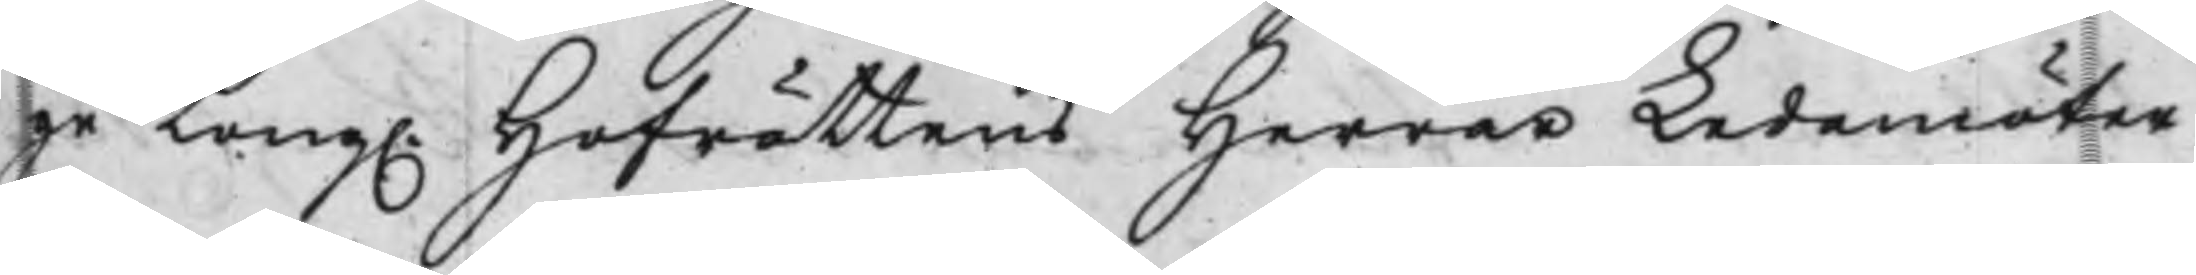ge Kong. Hofrättens Herrar Ledemöter
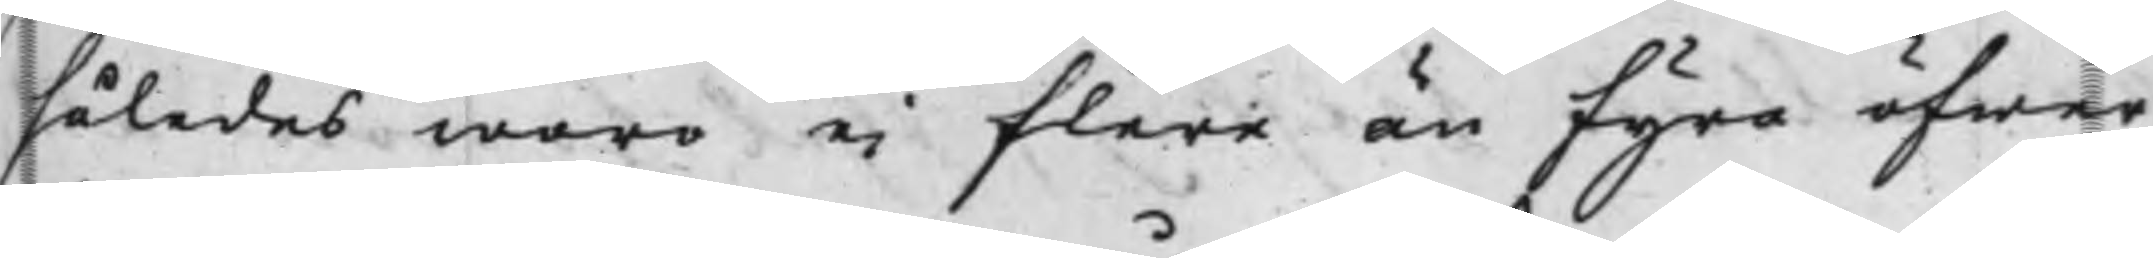således woro ei flere än fyra öfwer
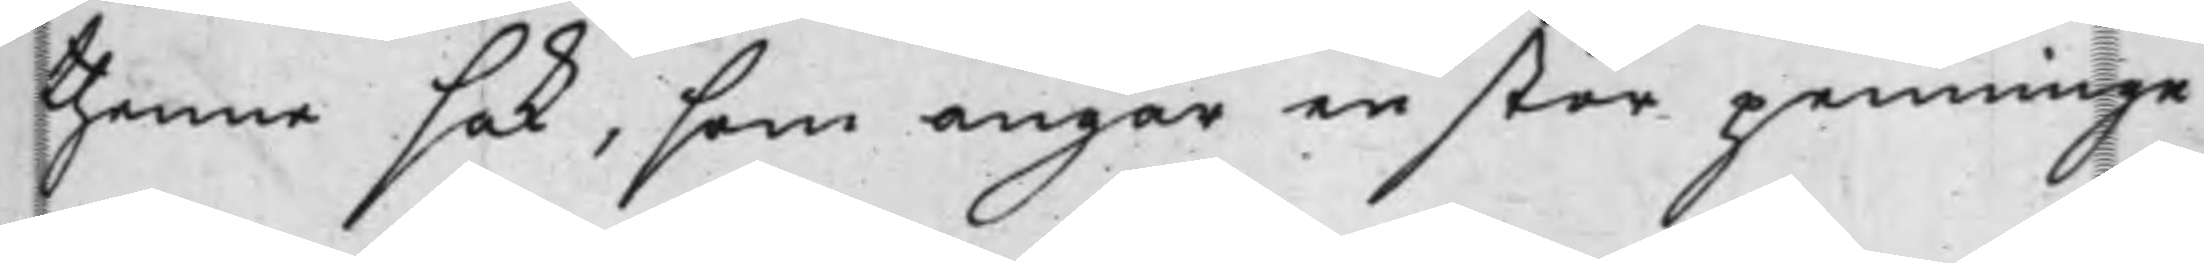thenne sak, som angår en stor penninge
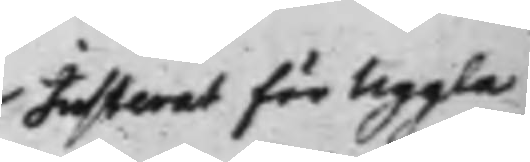Justerat för Uggla
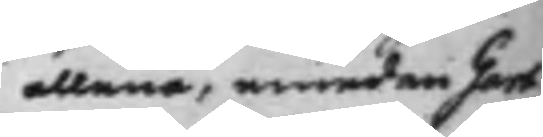allena, emedan Gart¬
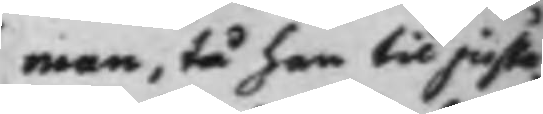man, tå han til juste¬
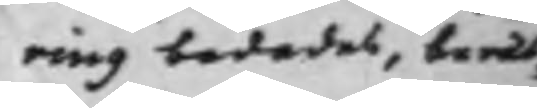ring bedades, berät¬
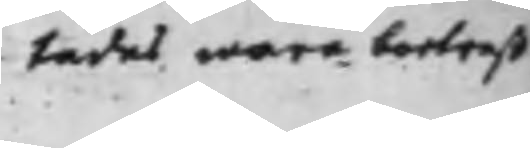tades wara bortrest
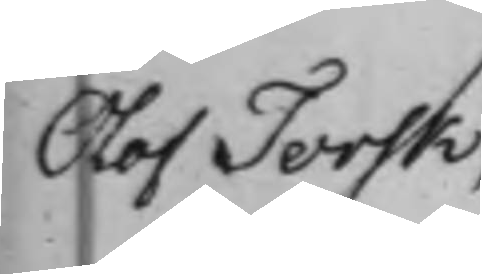Olof Torsk
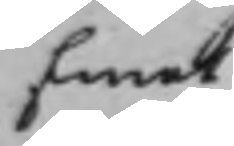Emot
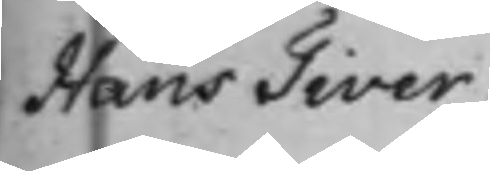Hans Tiver¬
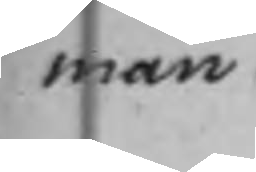man.
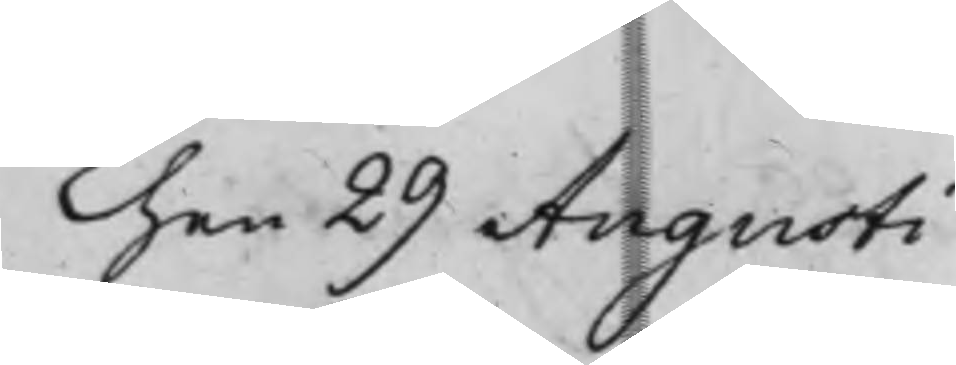Then 29 Augusti
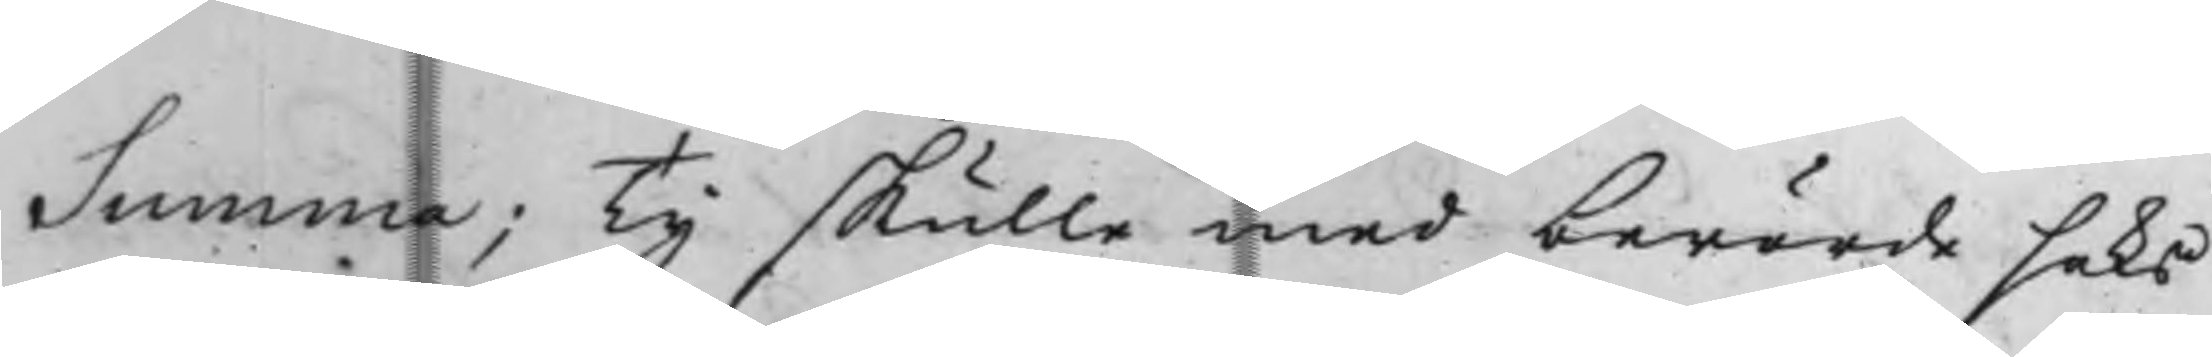Summa; Ty skulle med berörde saks
